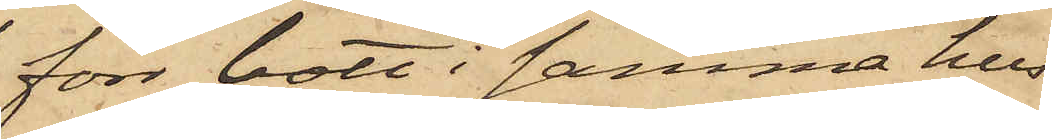förr bott i samma hus
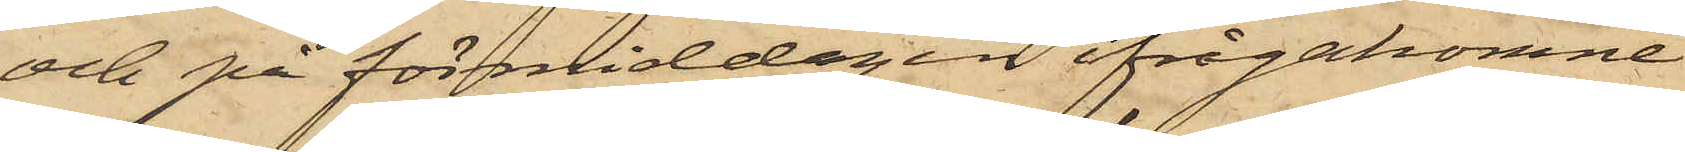och på förmiddagen ifrågakomne
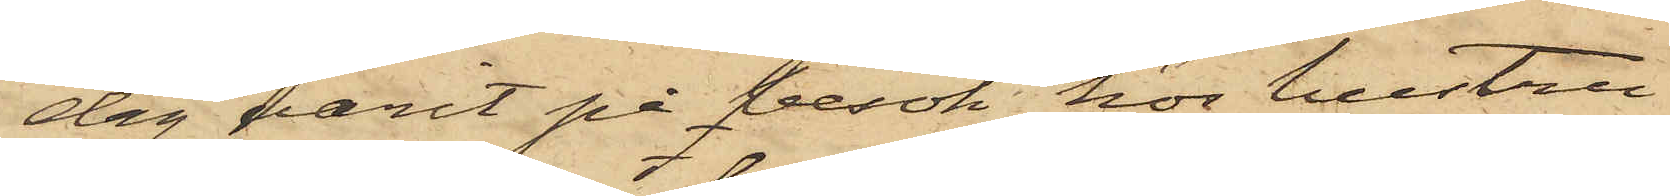dag varit på besök hos hustru
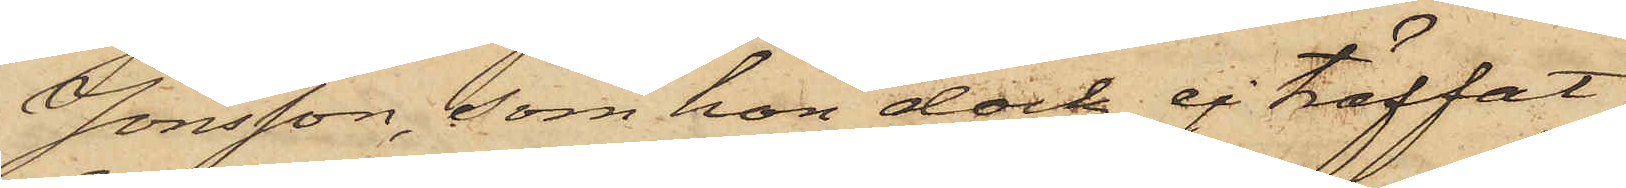Jönsson, som hon dock ej träffat
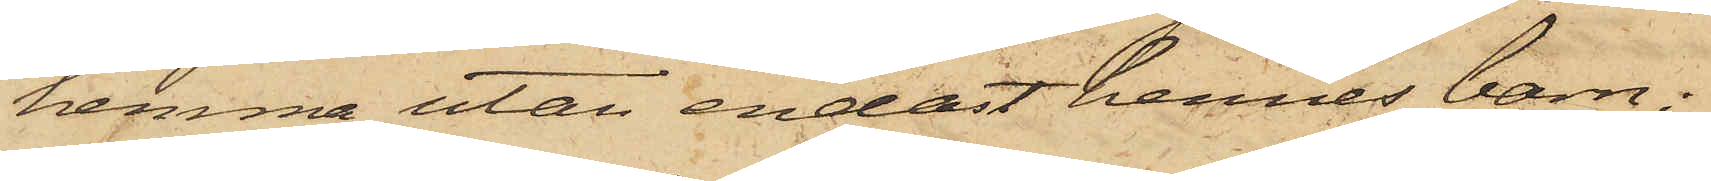hemma utan endast hennes barn;
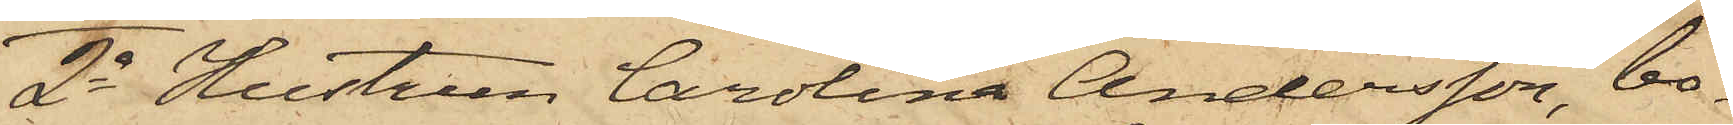2o Hustrun Carolina Andersson, bo¬
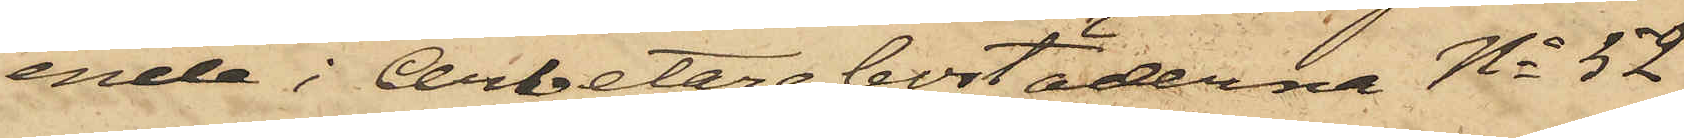ende i Arbetarebostäderna No 52
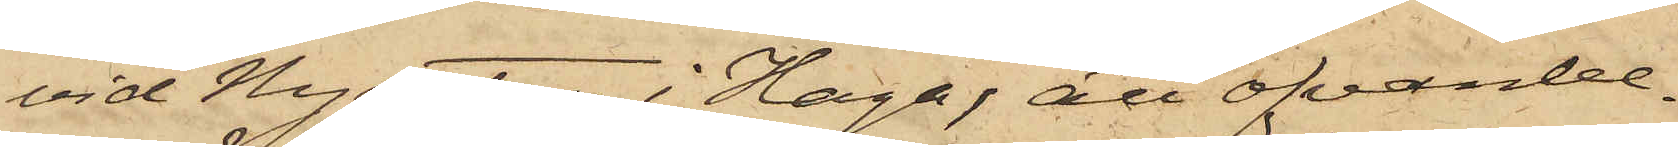vid Nygatan i Haga, att ofvanbe¬
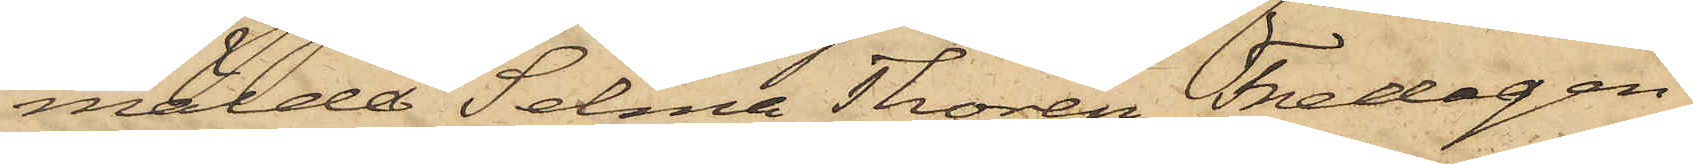mälde Selma Thorén Fredagen
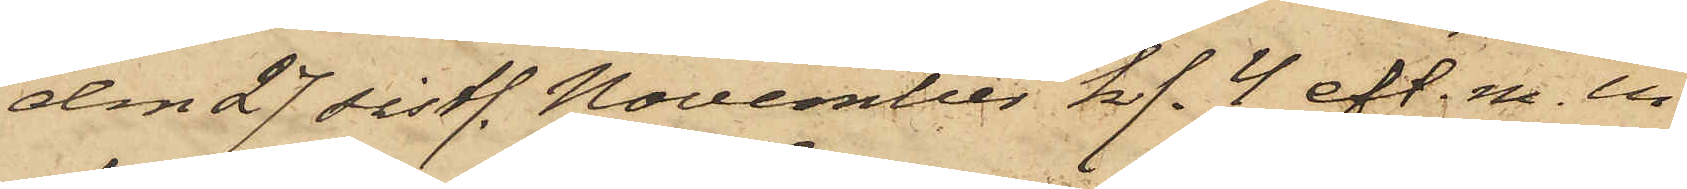den 27 sistl. November kl. 4 eft. m. in¬
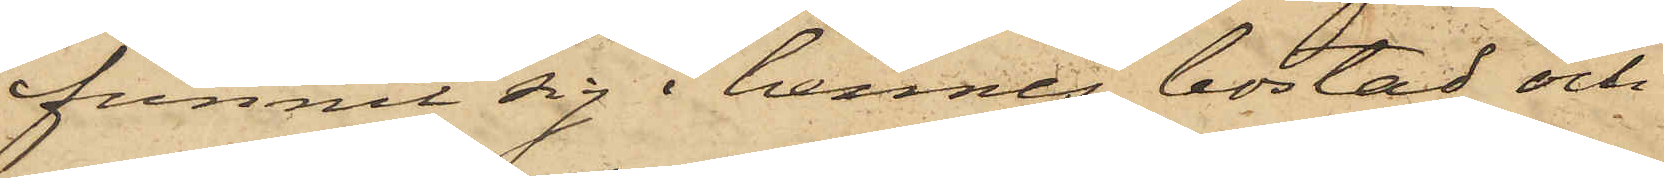funnit sig i hennes bostad och
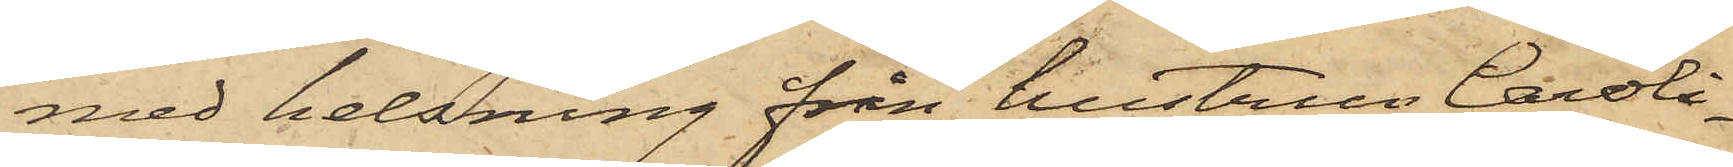med helsning från hustrun Caroli¬
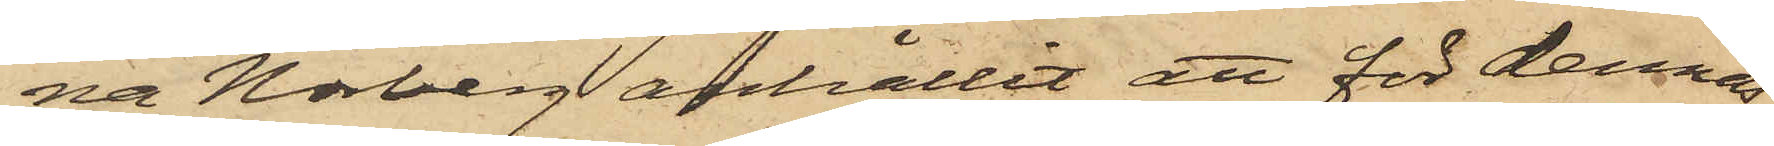na Norberg anhållit att för dennas
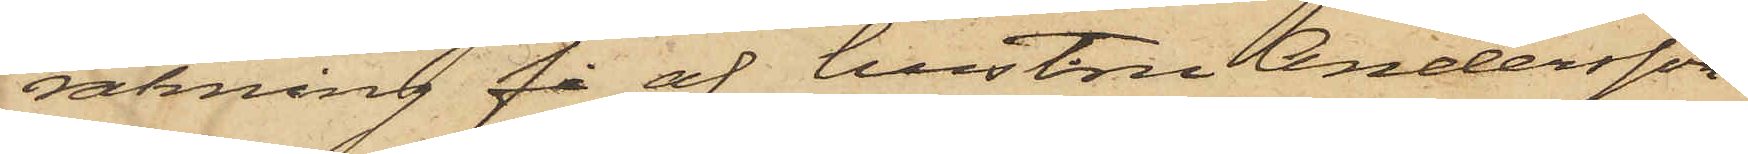räkning få af hustru Andersson
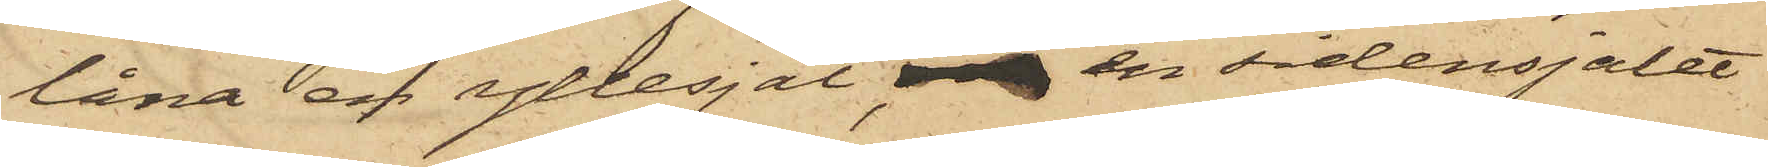låna en yllesjal, en sidensjalet
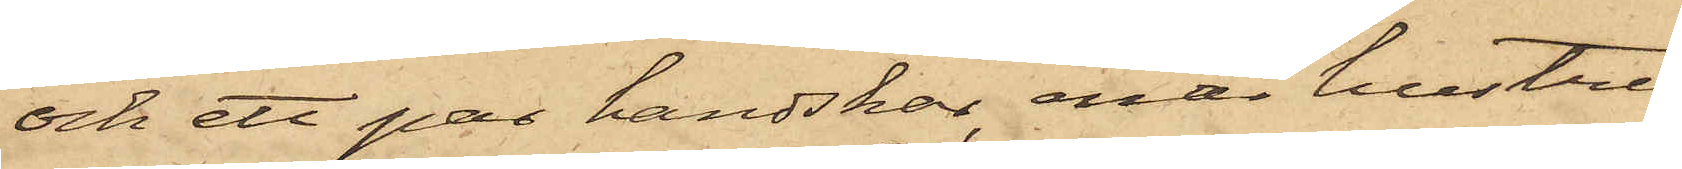och ett par handskar, enär hustru
